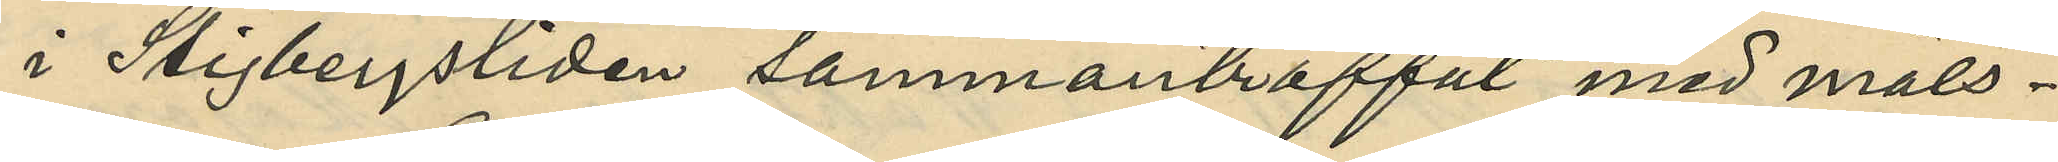i Stigbergsliden sammanträffat med måls¬
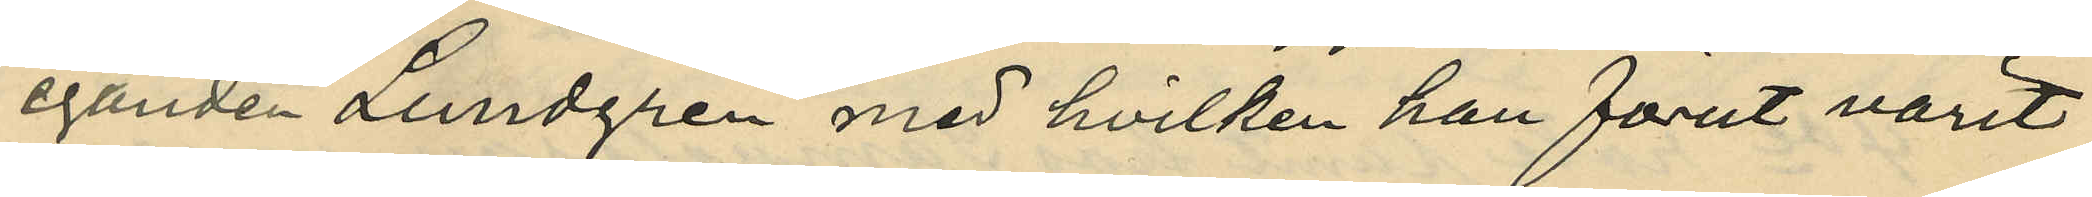eganden Lundgren med hvilken han förut varit
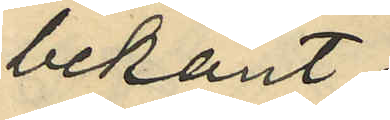bekant;
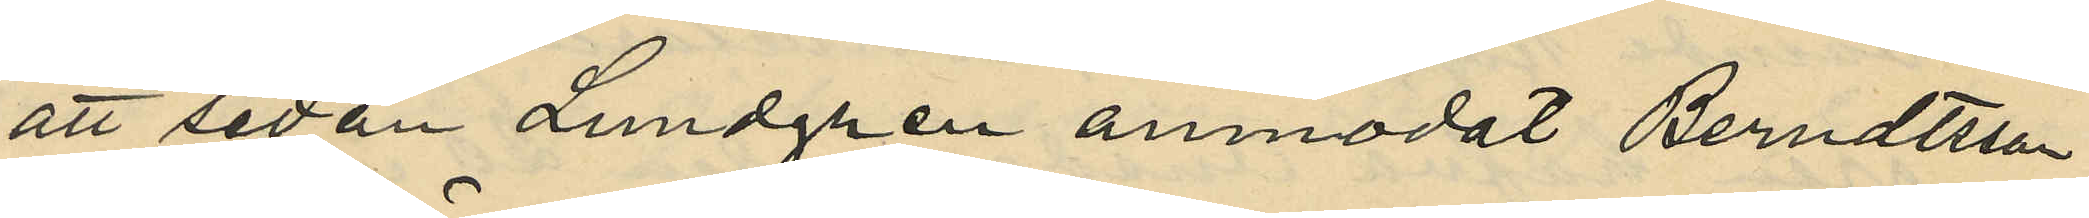att sedan Lundgren anmodat Berndtsson
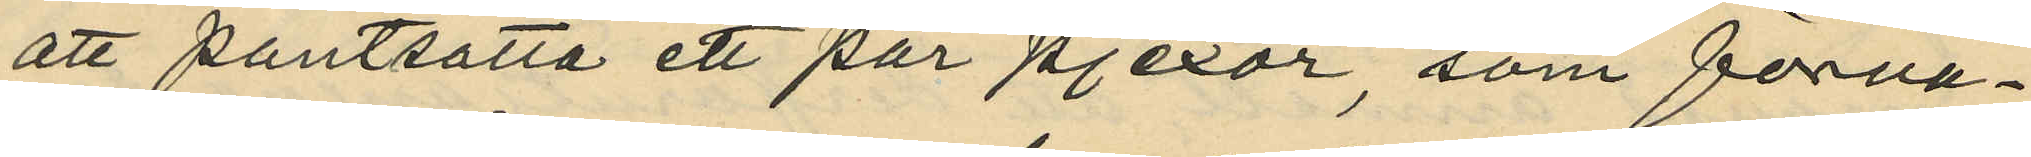att pantsätta ett par pjexor, som förva¬
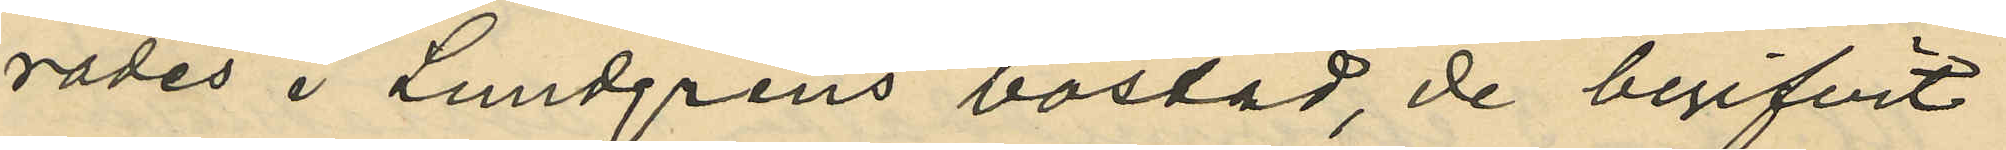rades i Lundgrens bostad, de begifvit
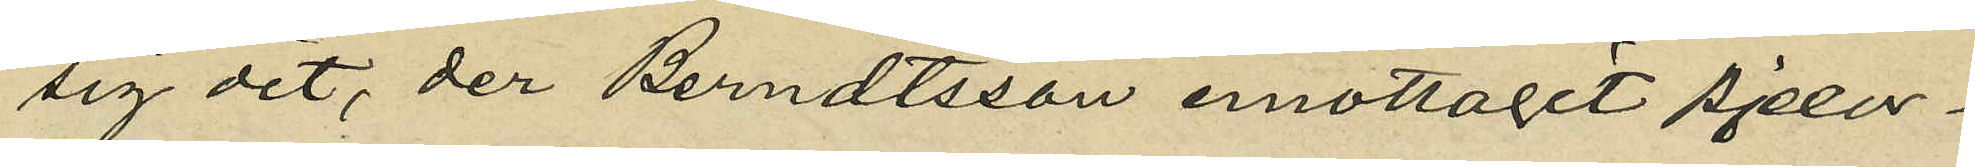sig dit, der Berndtsson emottagit pjexor¬
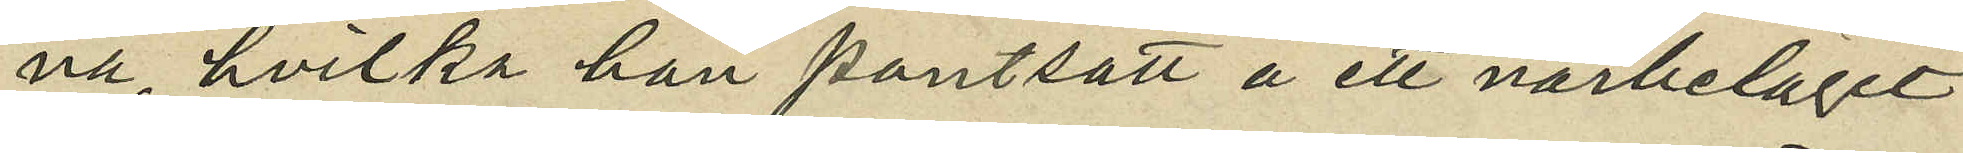na, hvilka han pantsatt å ett närbeläget
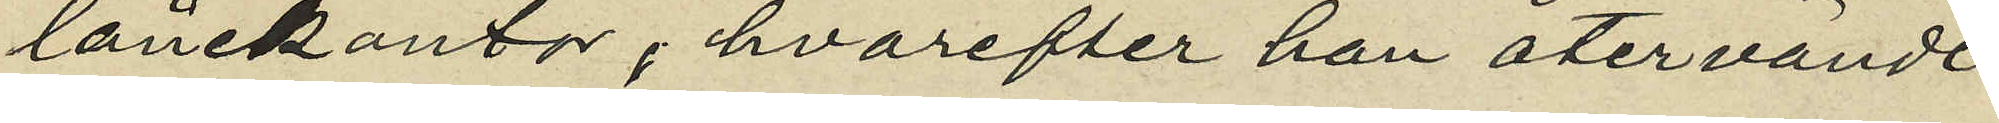lånekontor, hvarefter han återvändt
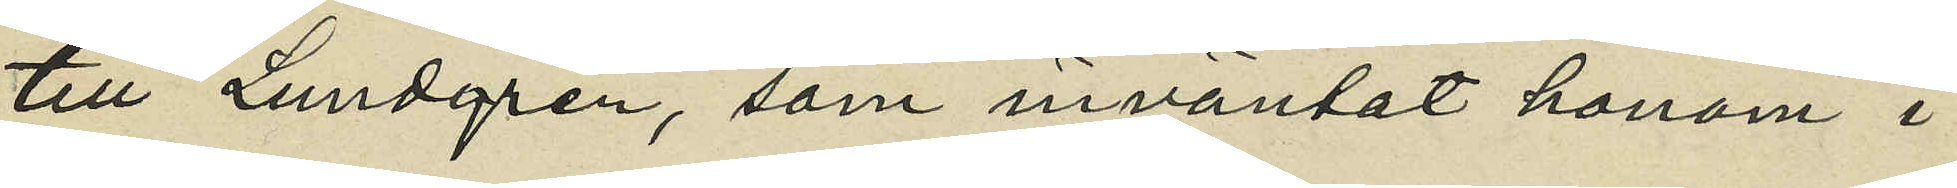till Lundgren, som inväntat honom i
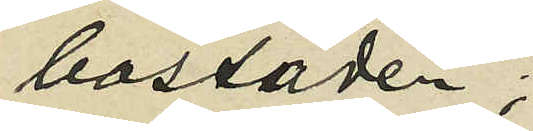bostaden;
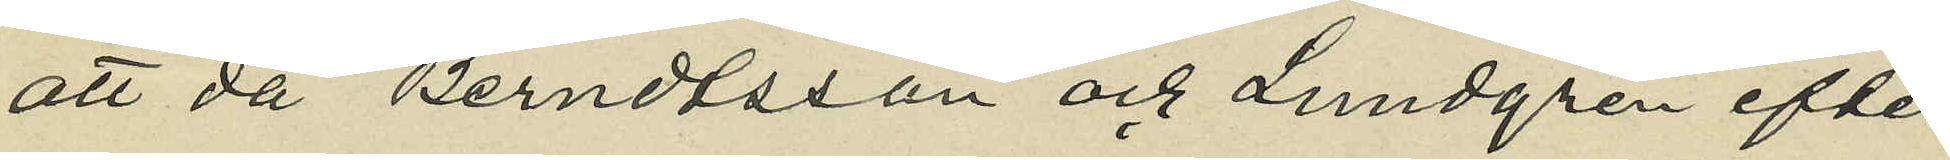att då Berndtsson och Lundgren efter
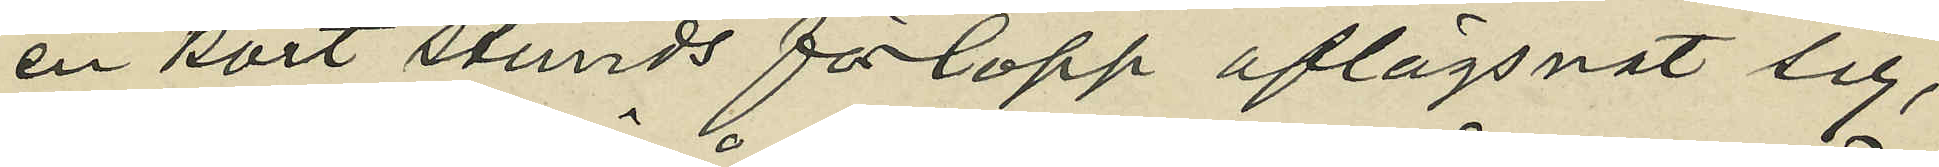en kort stunds förlopp aflägsnat sig,
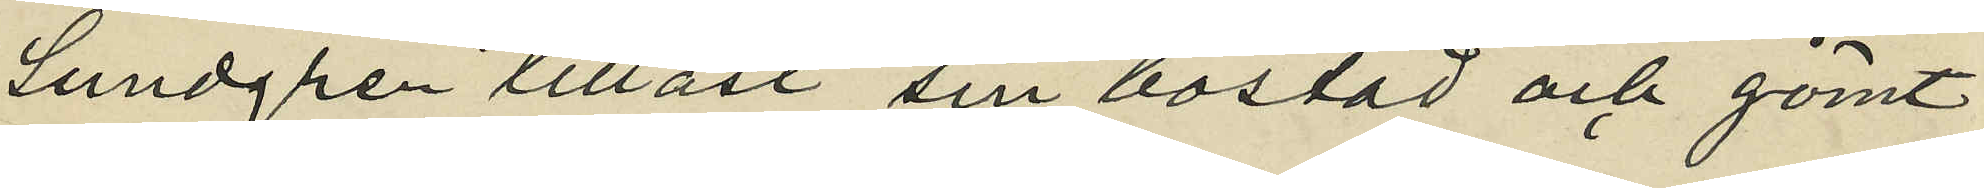Lundgren tillåst sin bostad och gömt
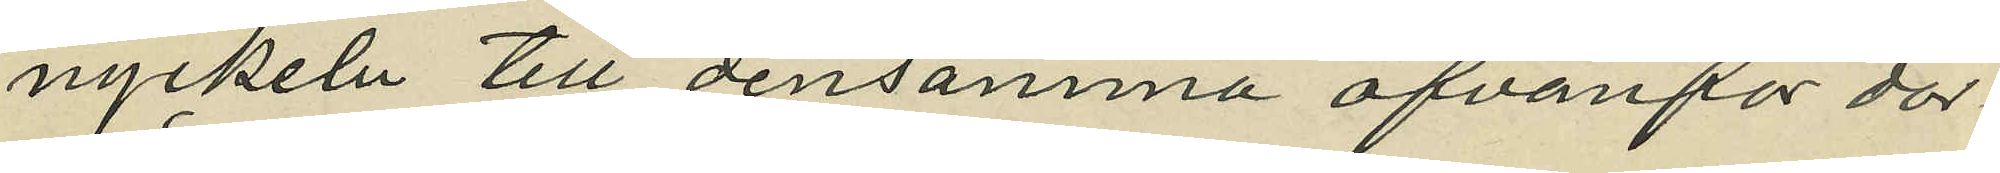nyckeln till densamma ofvanför dör¬
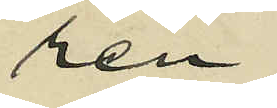ren;
